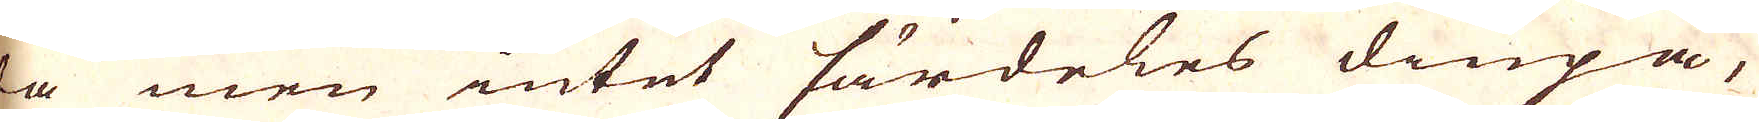da men intet särdeles diupa,
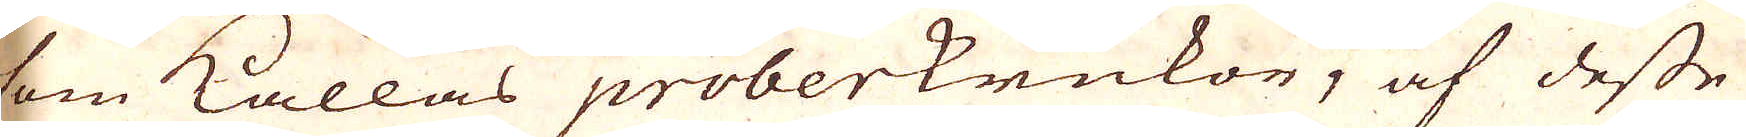som kallas proberkrukor, af desse
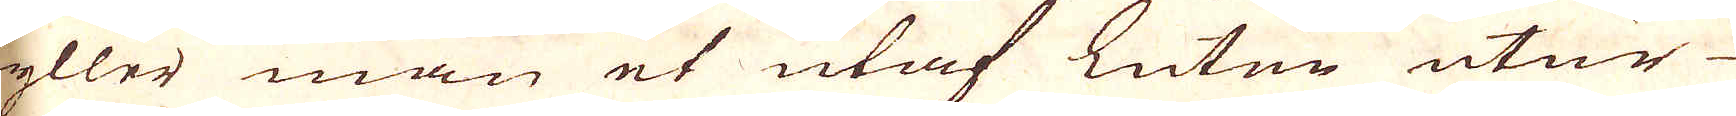fyller man et utaf Luten utur
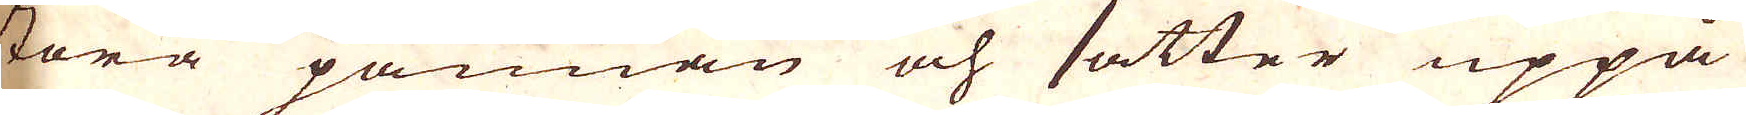stora pannan och sätter uppå
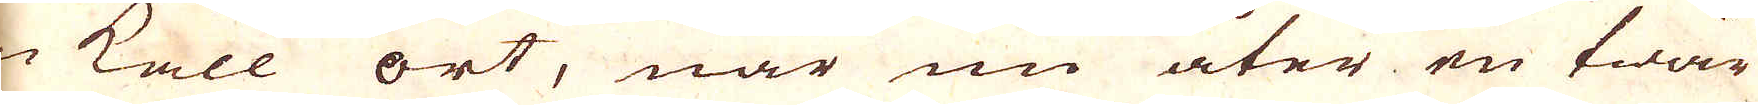en kall ort, när nu åter en twär-
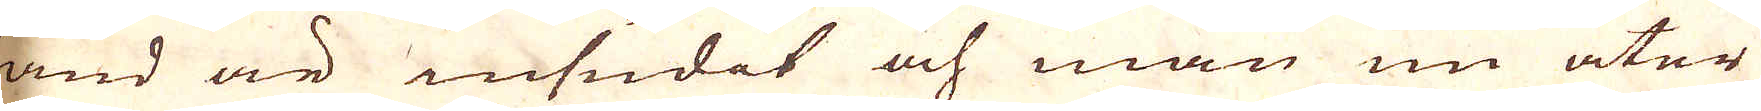hand är insudit och man nu åter
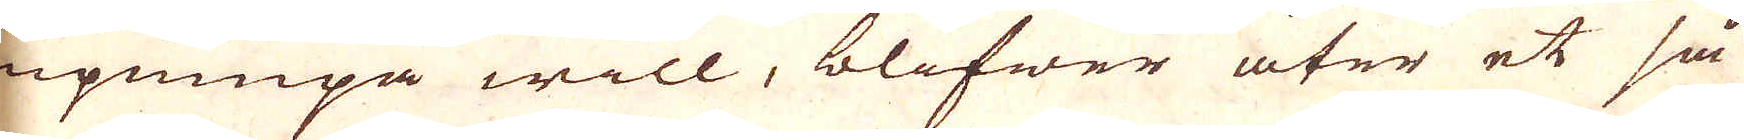inpumpa will, blifwer åter et så-
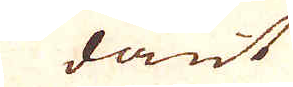dant
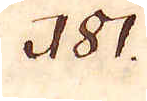181.
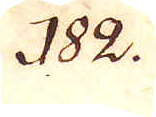182.
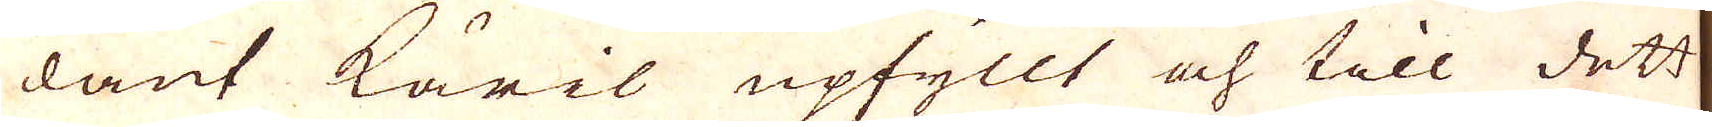dant käril upfyllt och till det
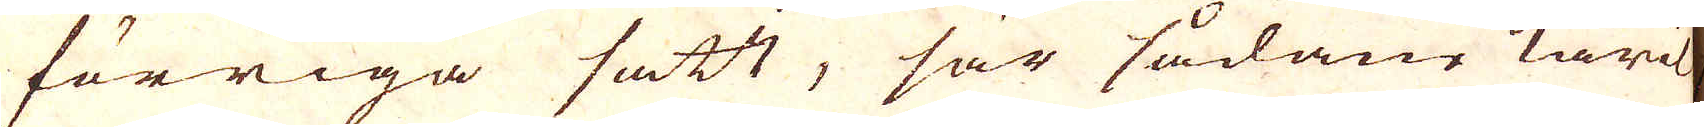förriga satt, sär sådane käril
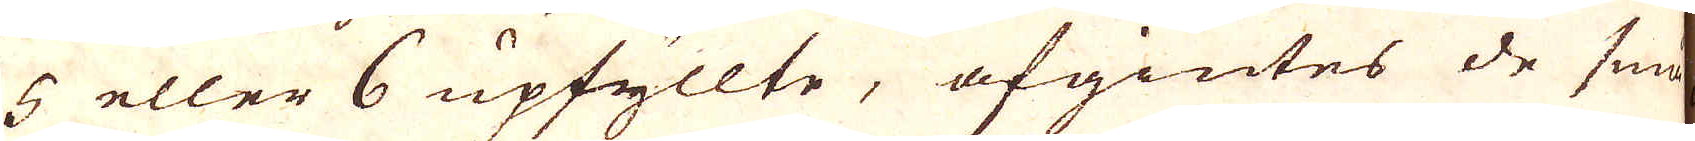5 eller 6 upfyllte, afgiutes de små-
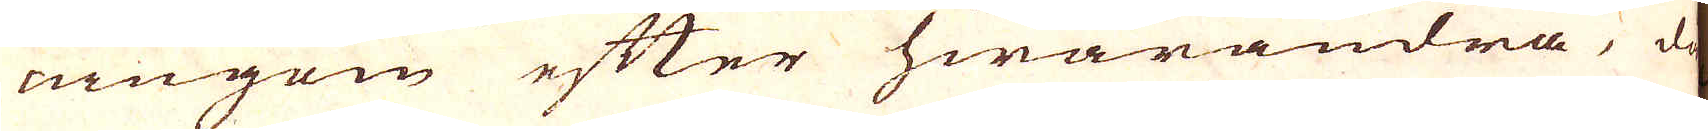ningom efter hwarandra, då
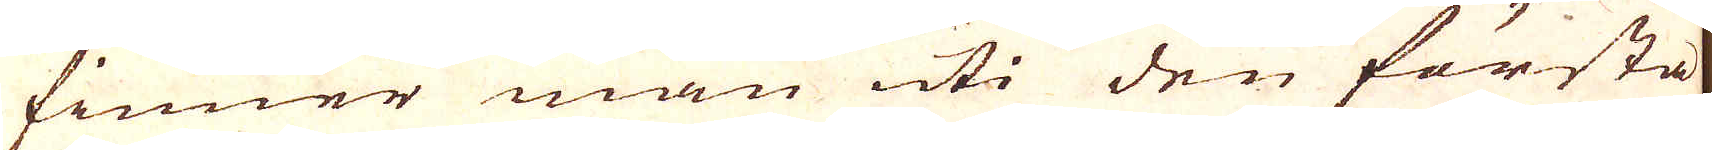finner man uti den första
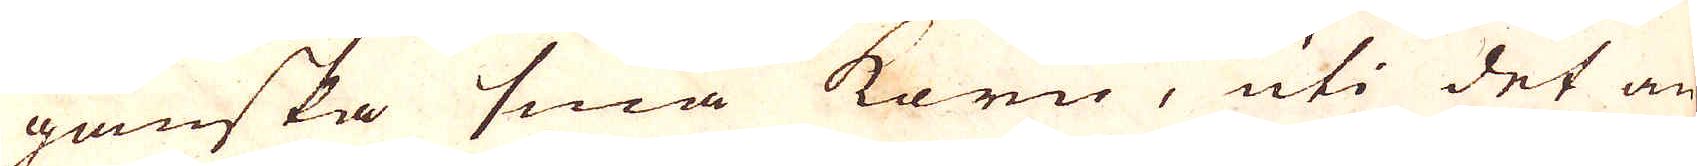ganska små korn, uti det an-
